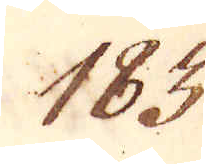183.
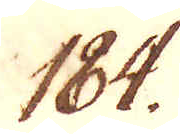184.
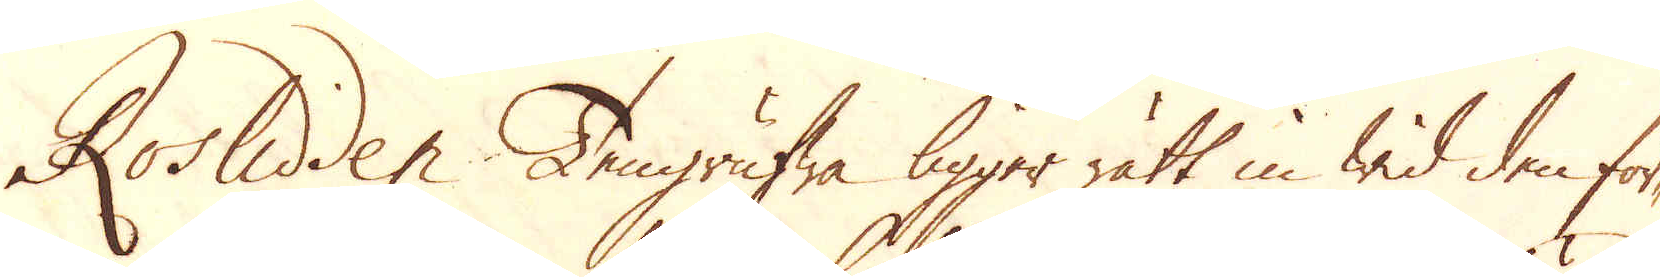Roslidden Tengrufwa ligger rätt in wid den för-
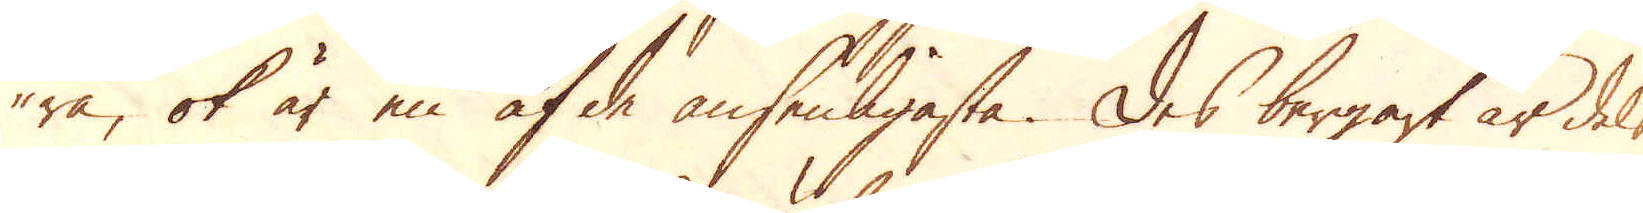ra, ok är en af de ansenligaste. Des bergart är dels
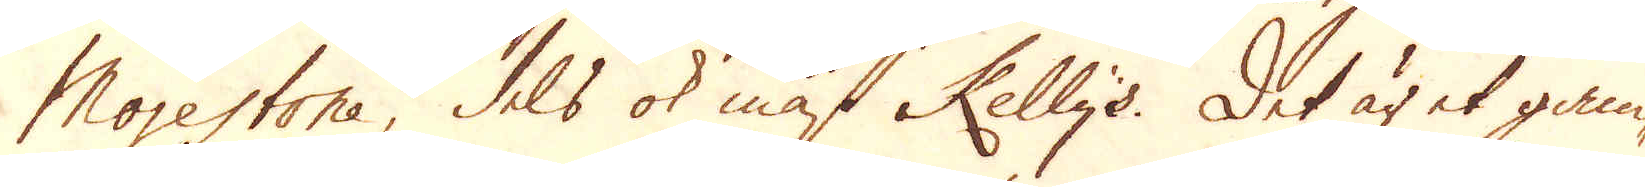Morestone, dels ok mäst Kellys. Det är et gam-
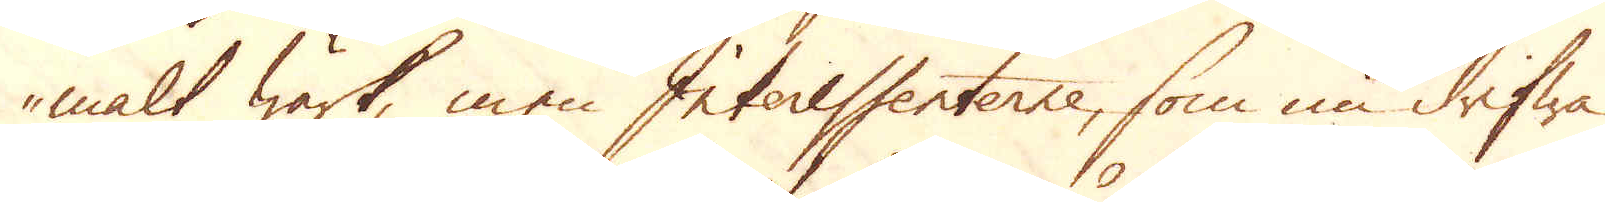malt wärk, men Interessenterne, som nu drifwa
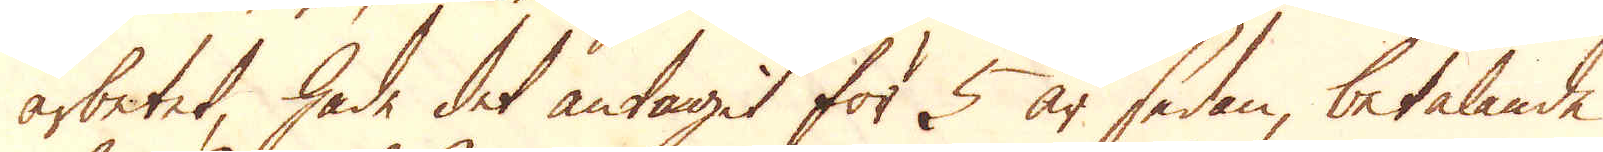arbetet, hade det antagit för 5 år sedan, betalande
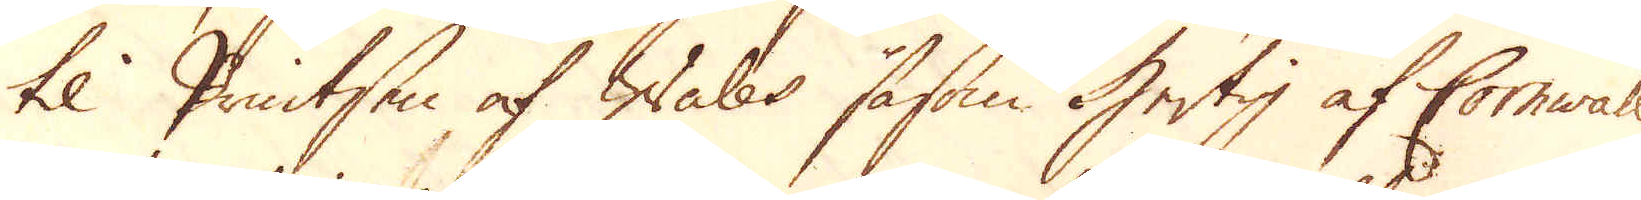til Printsen af Wales såsom Hertig af Comwall,
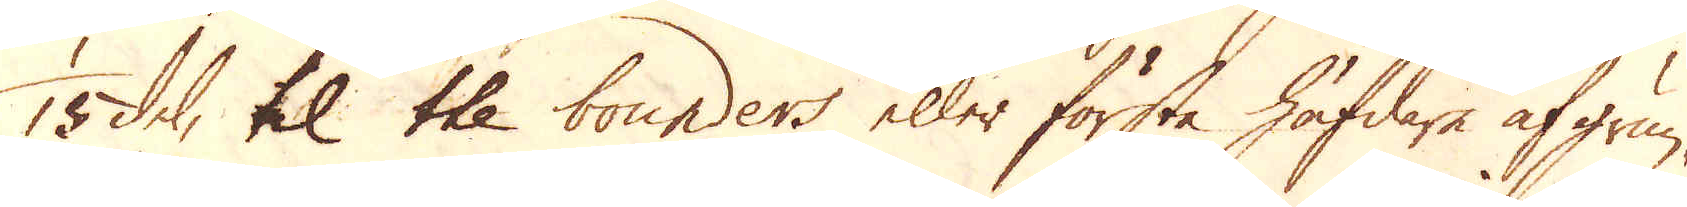15 del, til the bounders eller första häfdare af grun-
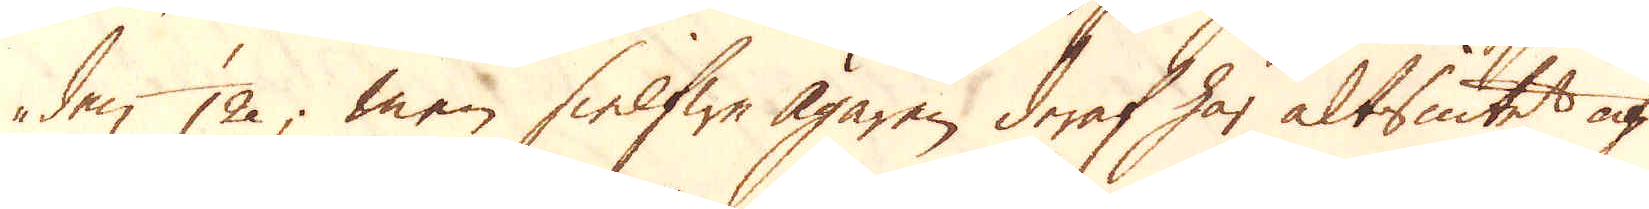den 12, men sielfwe Ägaren deraf har altsintet af
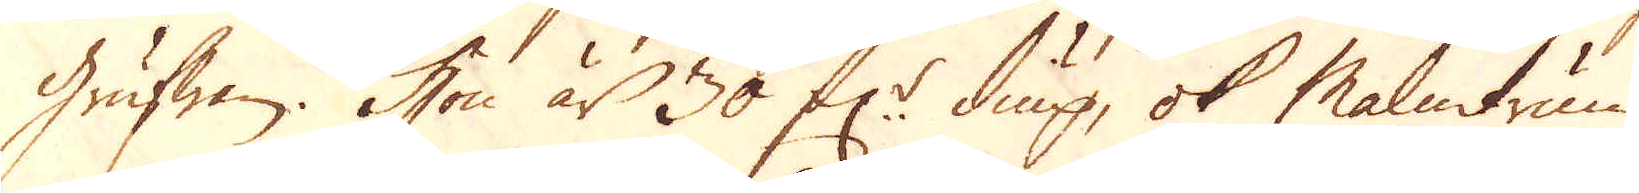Grufwan. Hon är 30 f:r diup, ok Malmtrum-
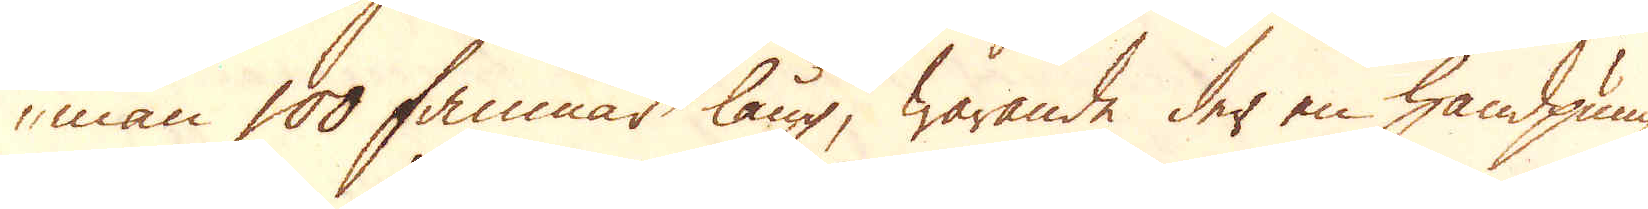man 100 famnar lång, warande der en handpump
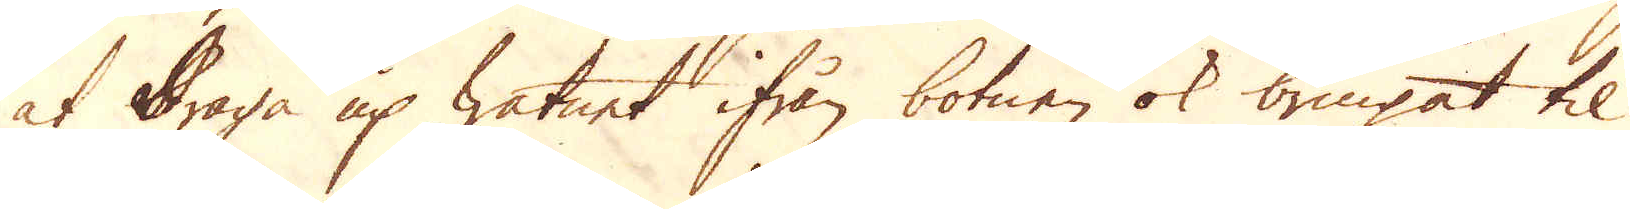at draga up watnet ifrån botnen ok bringat til
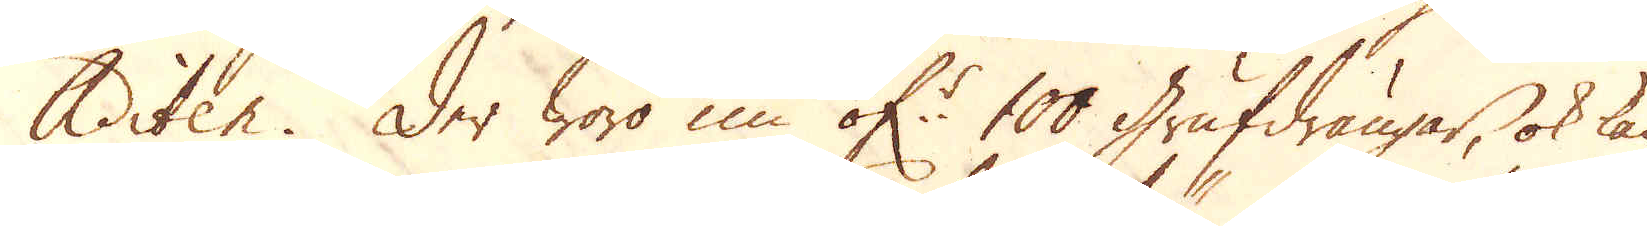Aditen. Der woro nu öf:r 100 Grufdrängar, ok kan
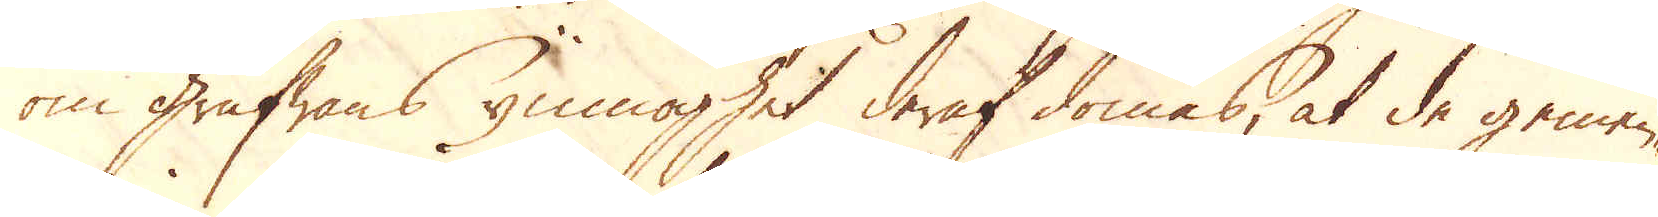om grufwans ymnoghet deraf dömas, at de gemen-
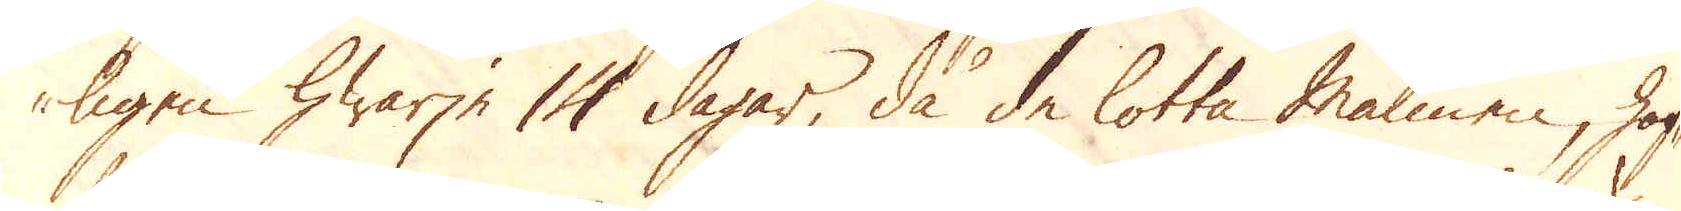ligen hwarje 14 dagar, då de lotta Malmen, haf-
